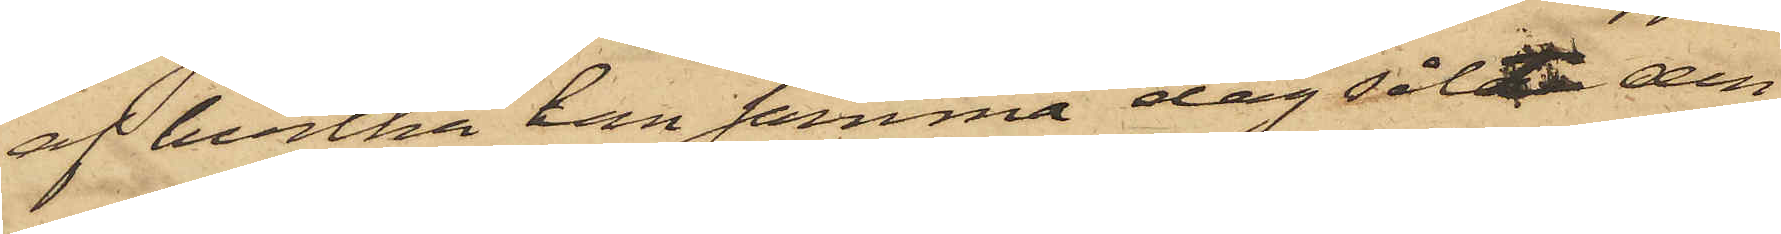af hvilka han samma dag sålt den
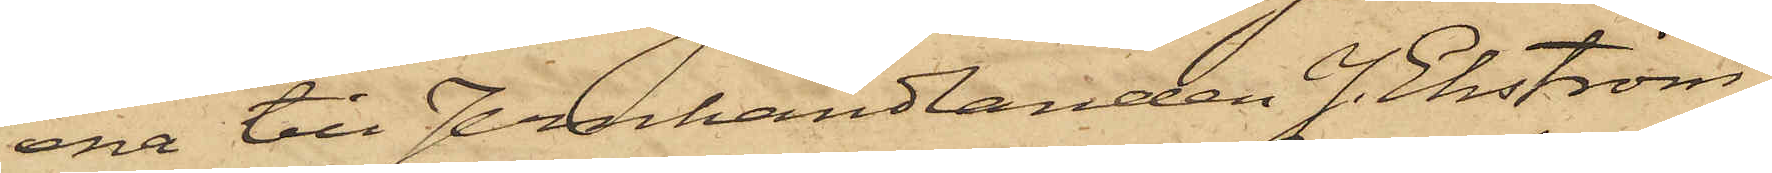ena till Jernhandlanden J. Ekström,
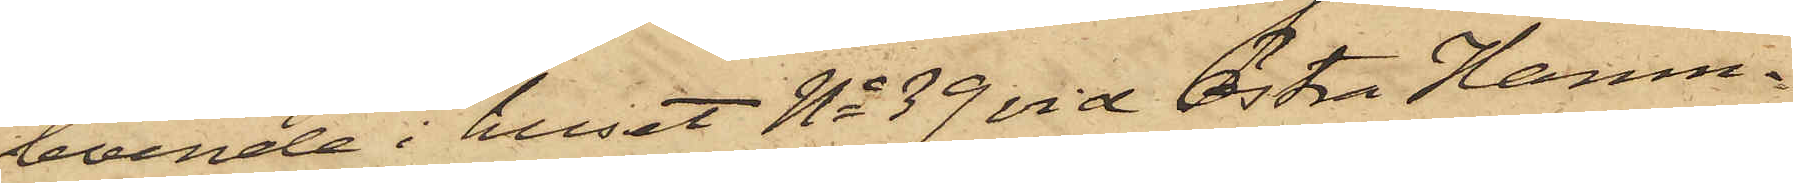boende i huset No 39 vid Östra Hamn¬
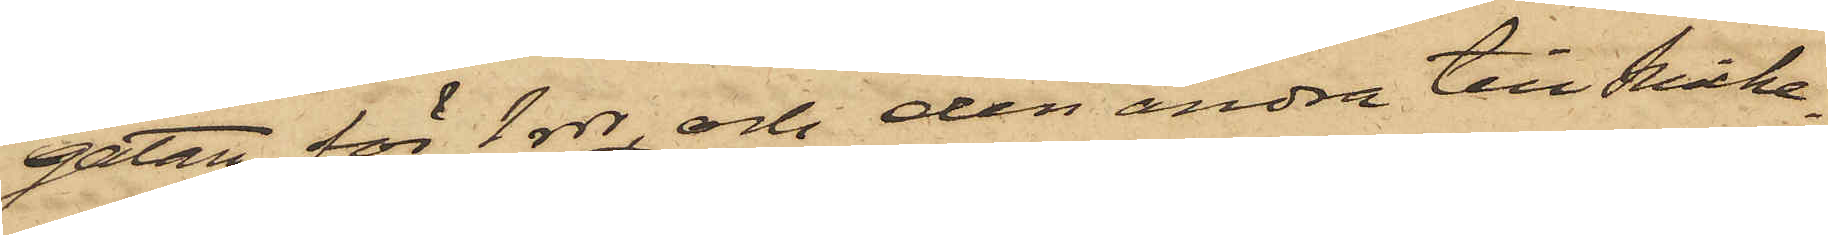gatan för 1 rdr, och den andra till Snicka¬
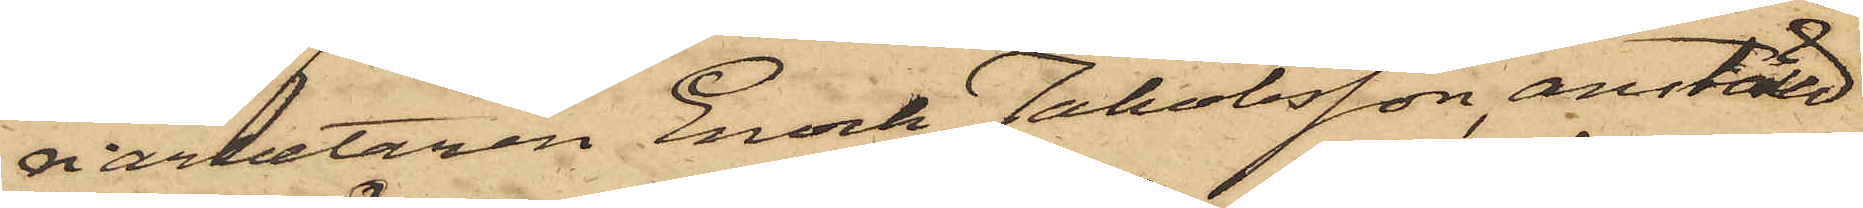riarbetaren Enock Jakobsson, anställd
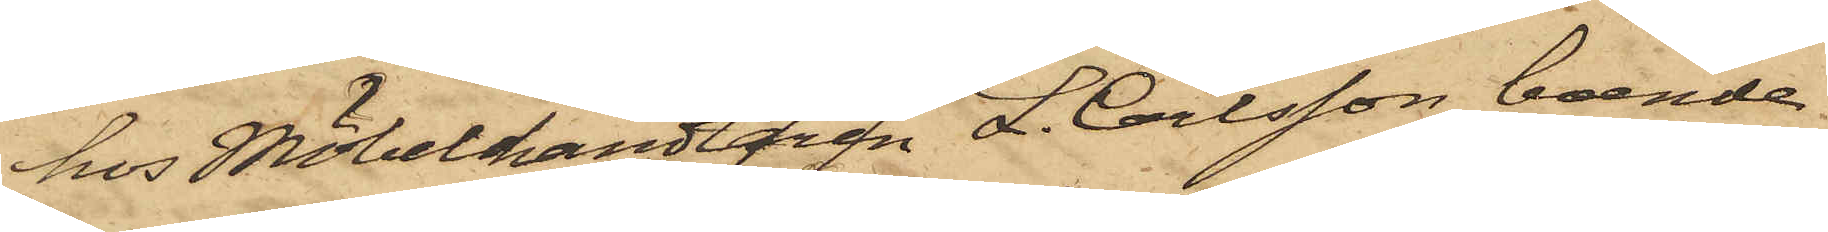hos Möbelhandlaren L. Carlsson, boende
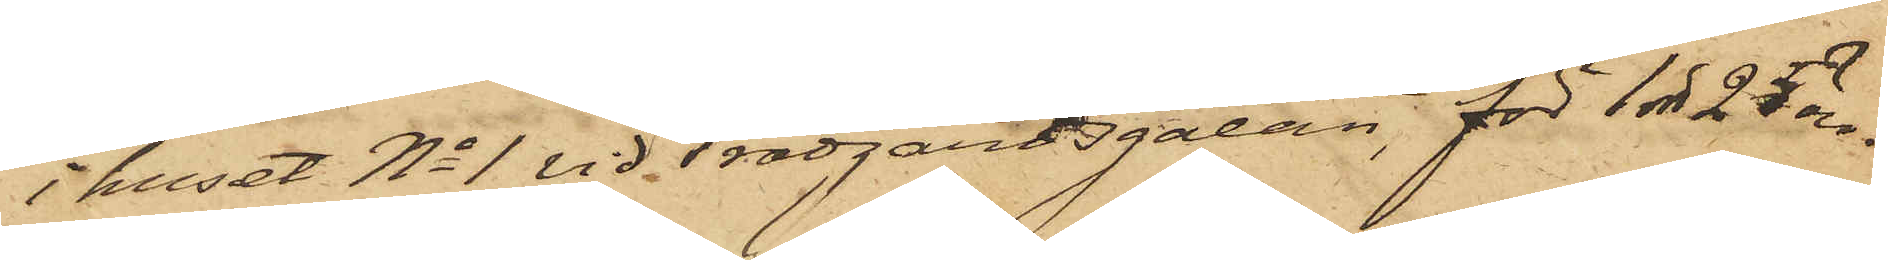i huset No 1 vid Trädgårdsgatan, för 1 rdr 25 öre.
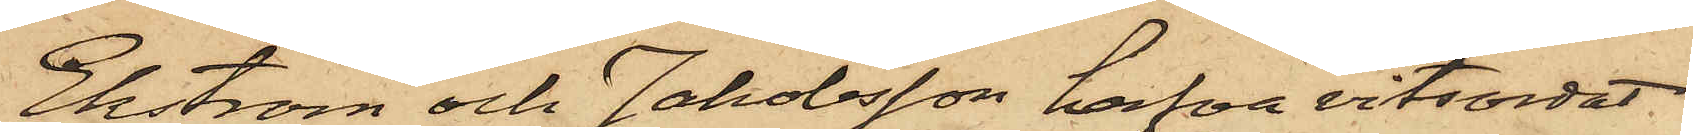Ekström och Jakobsson hafva vitsordat
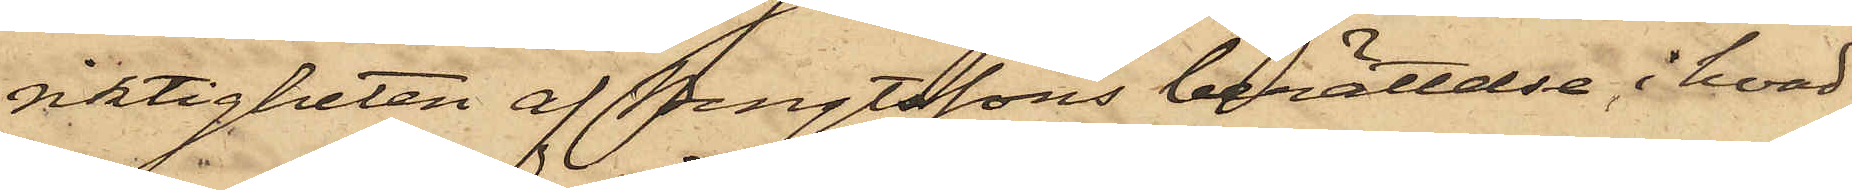riktigheten af Bengtssons berättelse i hvad
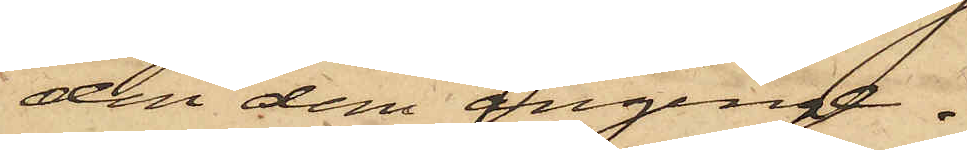den dem anginge.
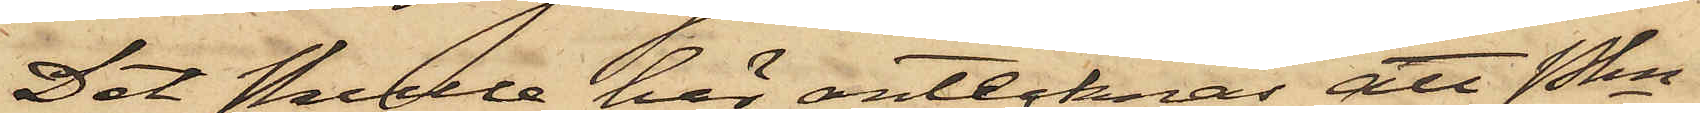Det skulle här antecknas att Pkn
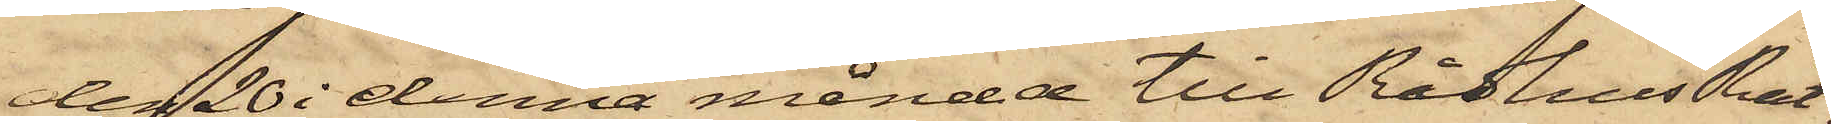den 20 i denna månad till RådhusRät¬
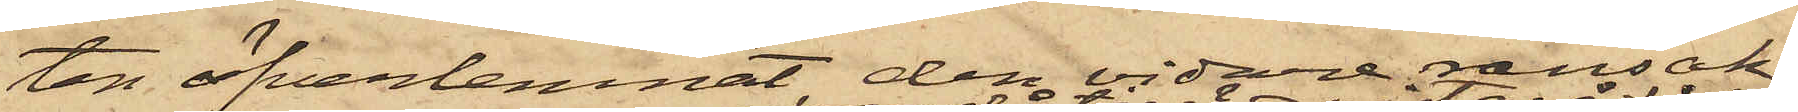ten öfverlemnat den vidare ransak¬
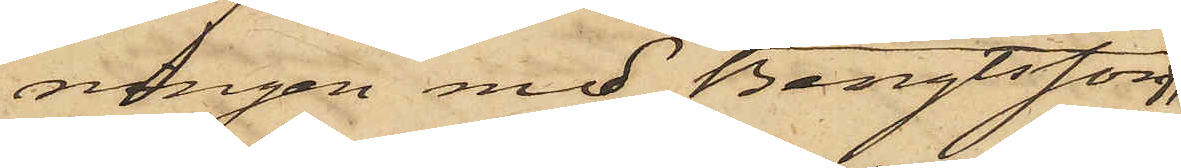ningen med Bengtsson,
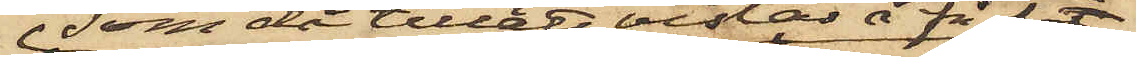 som då tilläts vistas å fri fot,
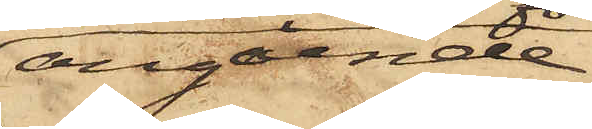angående
